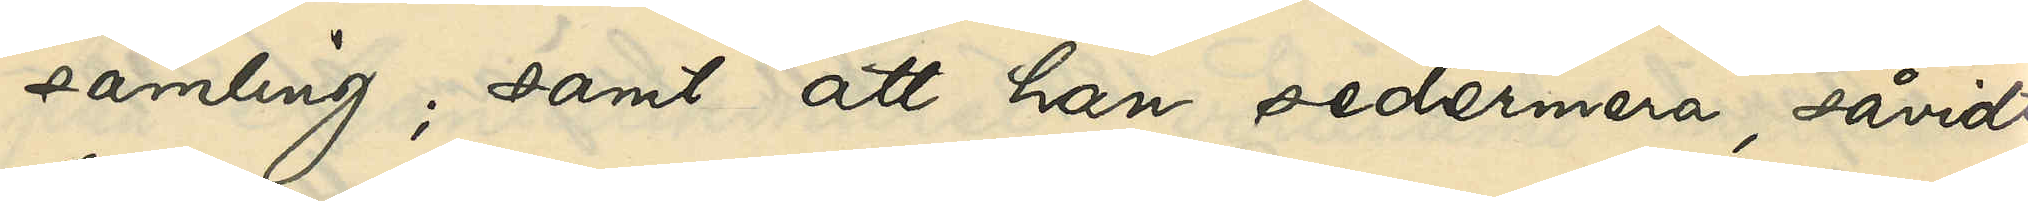samling; samt att han sedermera, såvidt
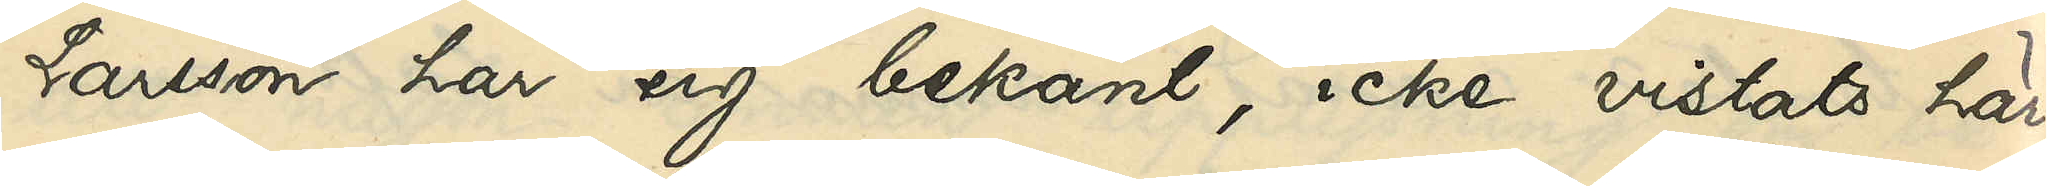Larsson har sig bekant, icke vistats här¬
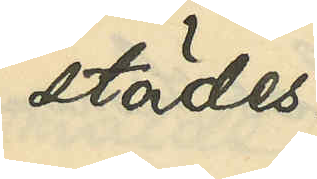städes.
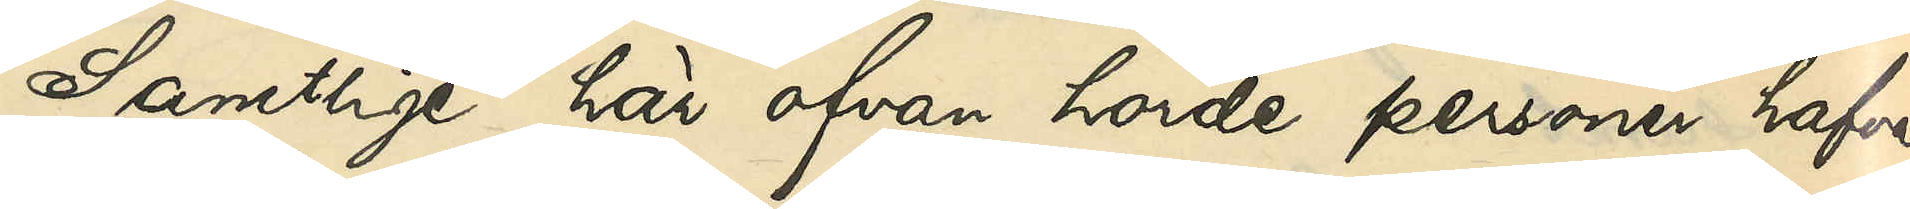Samtlige här ofvan hörde personer hafva
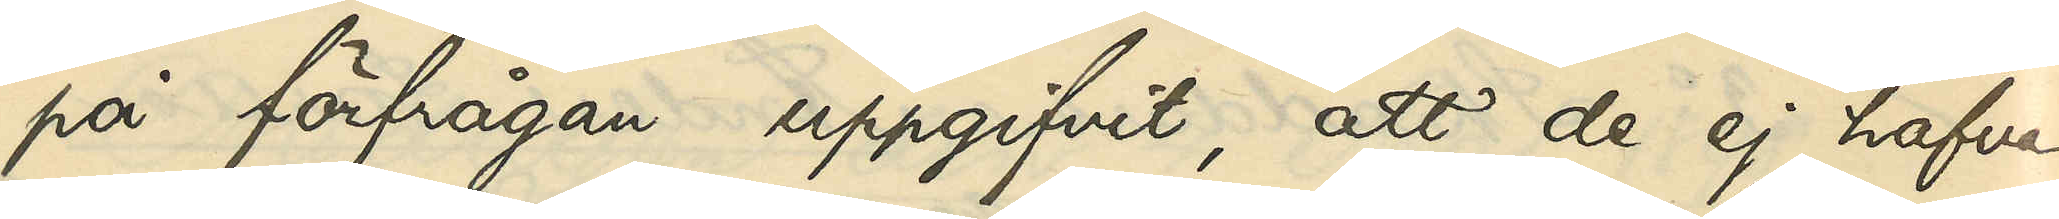på förfrågan uppgifvit, att de ej hafva
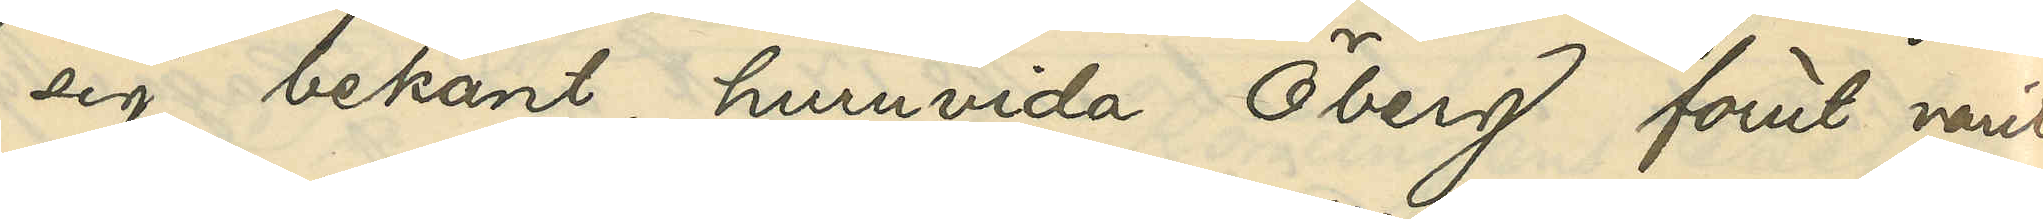sig bekant, huruvida Öberg förut varit
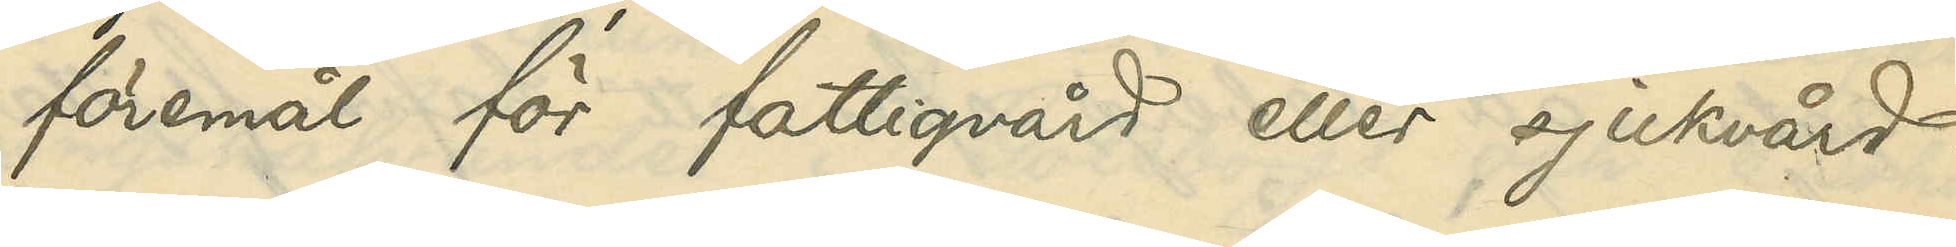föremål för fattigvård eller sjukvård.
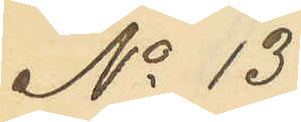No 13
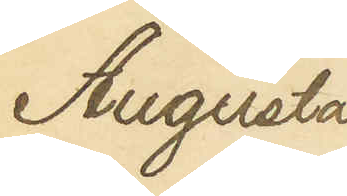Augusta
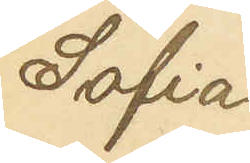Sofia
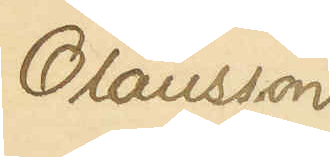Olausson
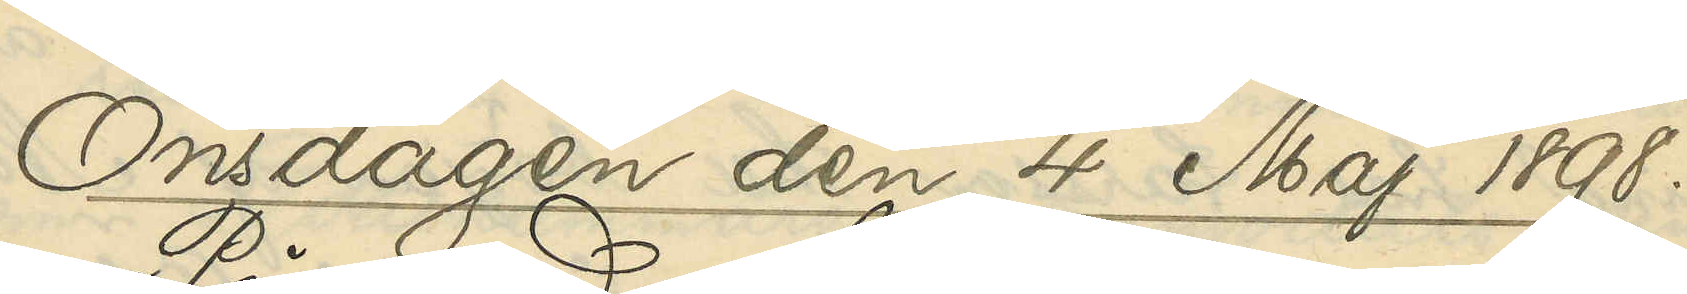Onsdagen den 4 Maj 1898.
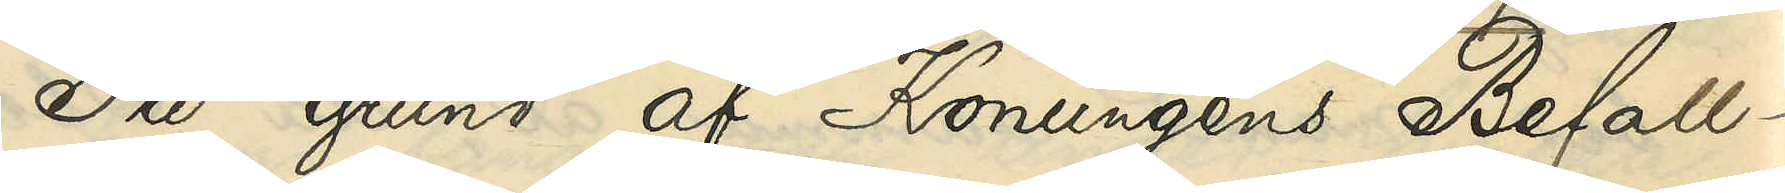På grund af Konungens Befall¬
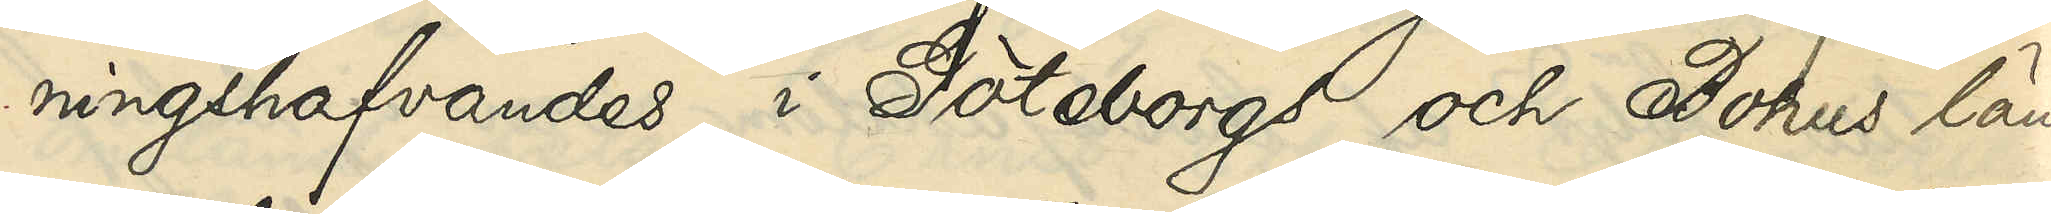ningshafvandes i Göteborgs och Bohus län
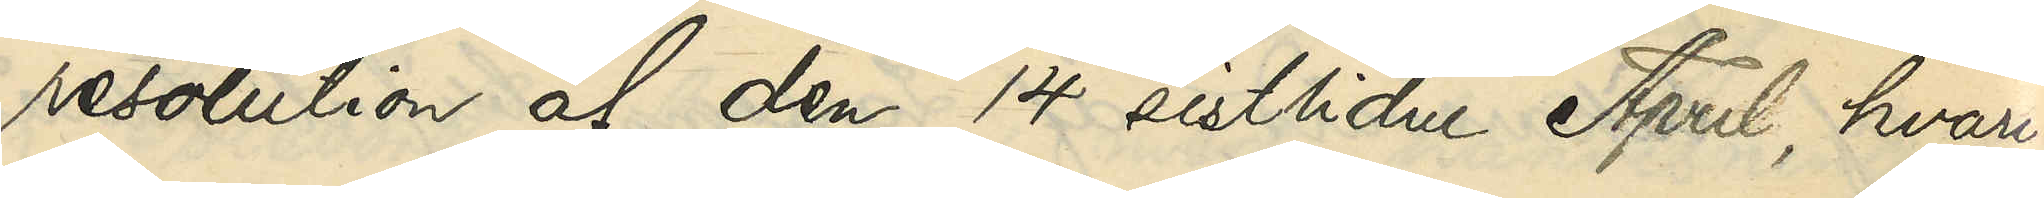resolution af den 14 sistlidne April, hvari¬
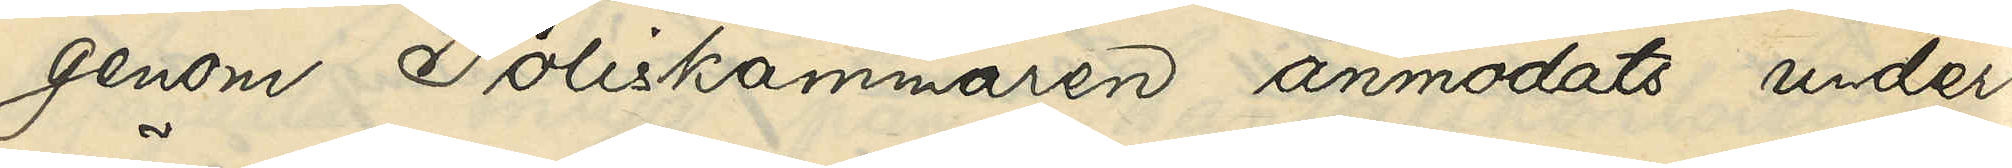genom Poliskammaren anmodats under¬
